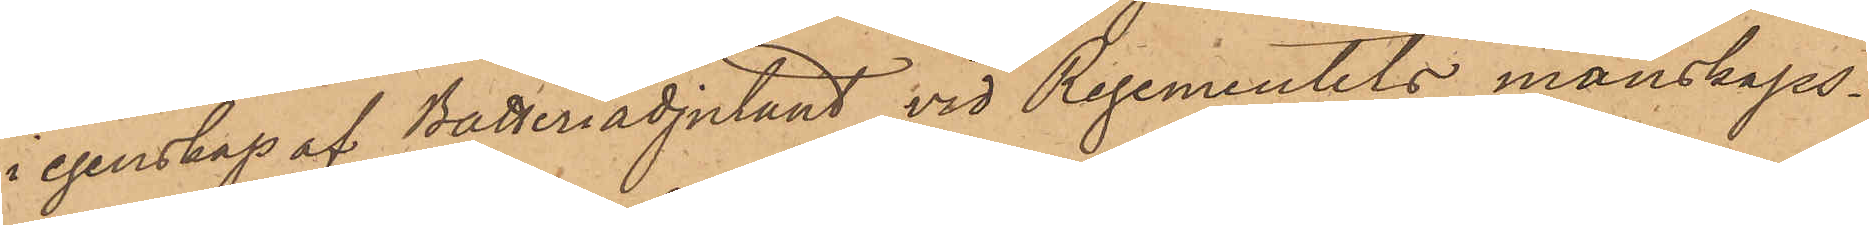i egenskap af Batteriadjutant vid Regementets manskaps¬
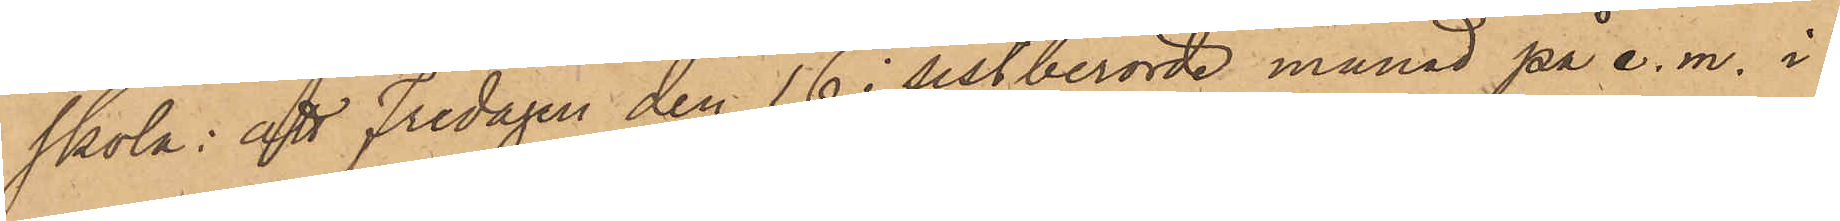skola; att Fredagen den 16 i sistberörde månad på e. m. i
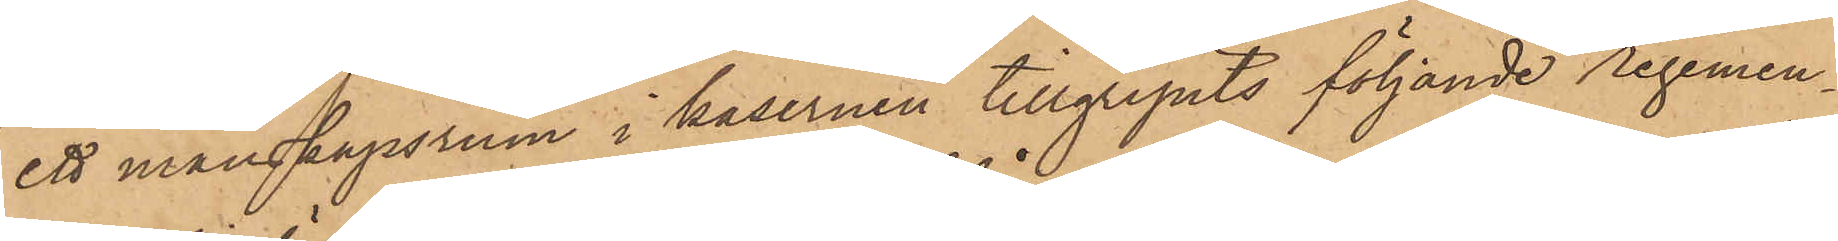ett manskapsrum i kasernen tillgripits följande Regemen¬
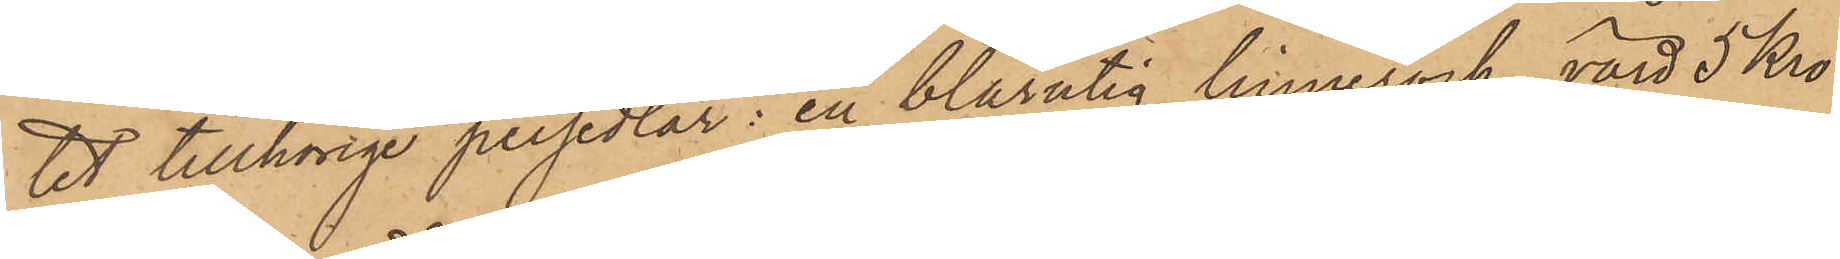tet tillhörige persedlar: en blårutig linnerock, värd 5 Kro¬
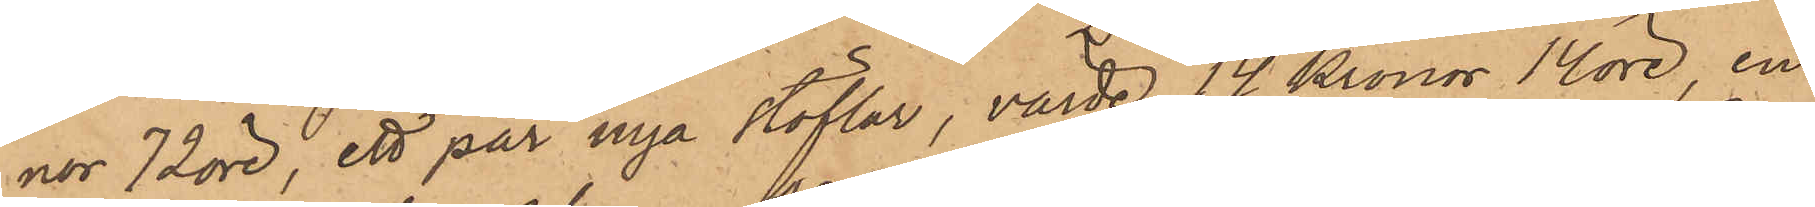nor 72 öre, ett par nya stöflar, värde 14 Kronor 14 öre, en
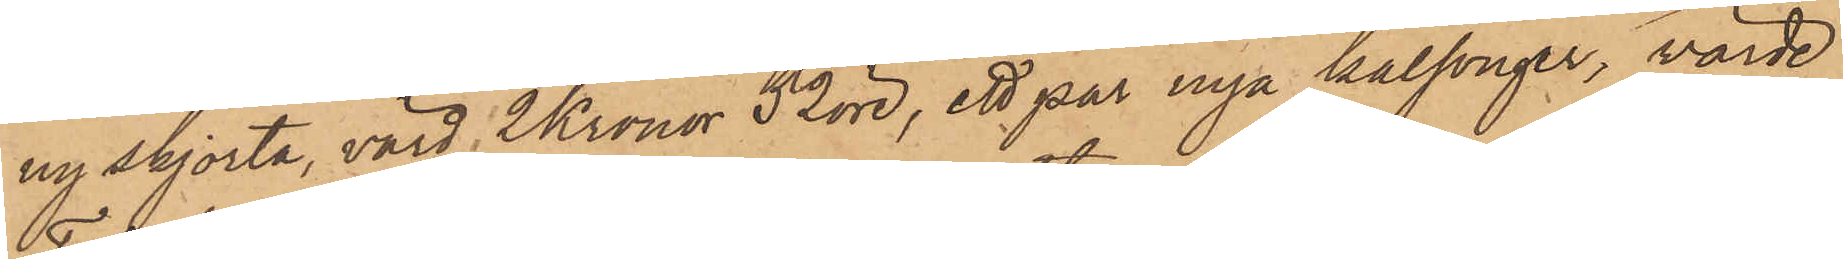ny skjorta, värd 2 Kronor 52 öre, ett par nya kalsonger, värde
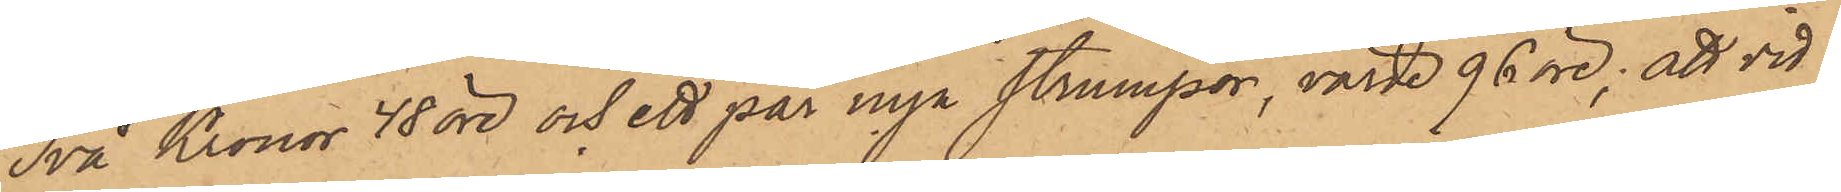Två Kronor 48 öre och ett par nya strumpor, värde 96 öre; att vid
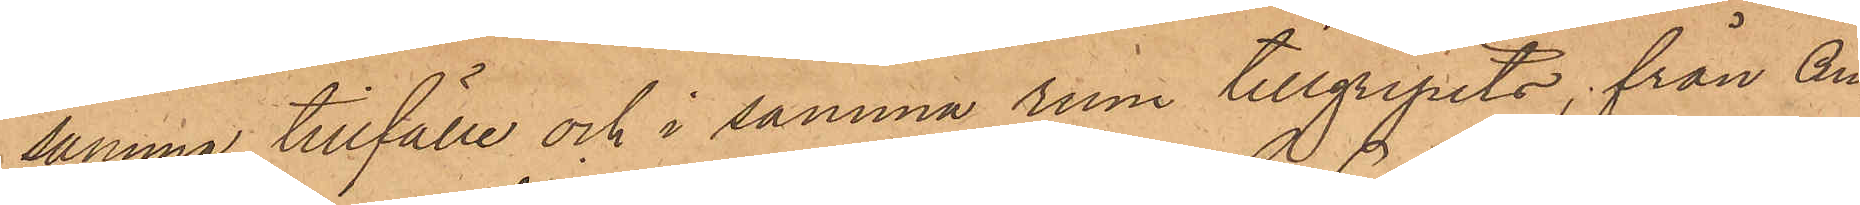samma tillfälle och i samma rum tillgripits, från An¬
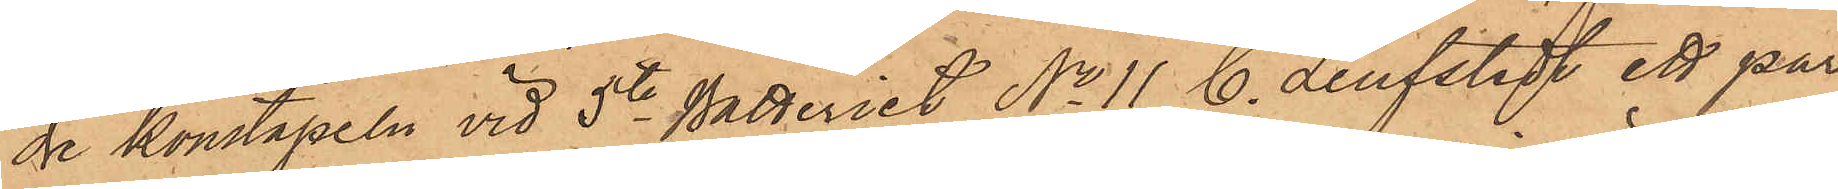de konstapeln vid 5te Batteriet No 11 C. Leufstedt ett par
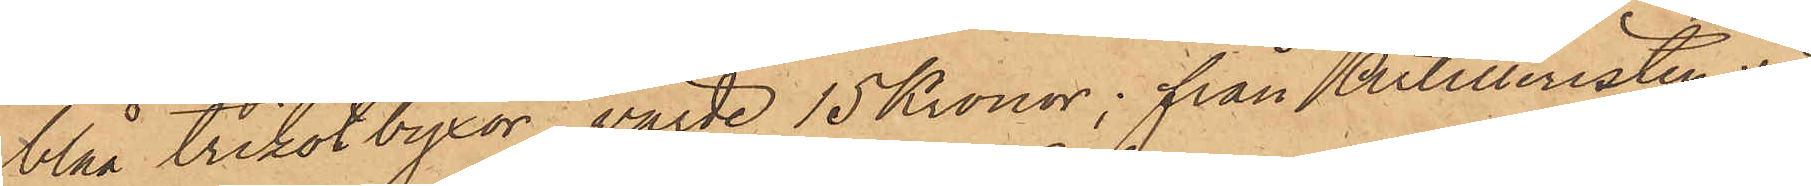blåa trikotbyxor, värde 15 Kronor, från Artilleristen vid
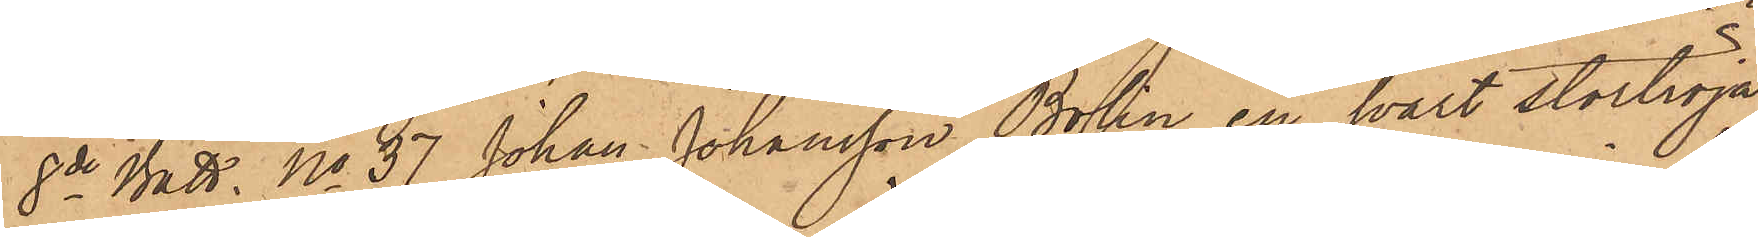8de Batt. No 37 Johan Johansson Bolin en svart stortröja
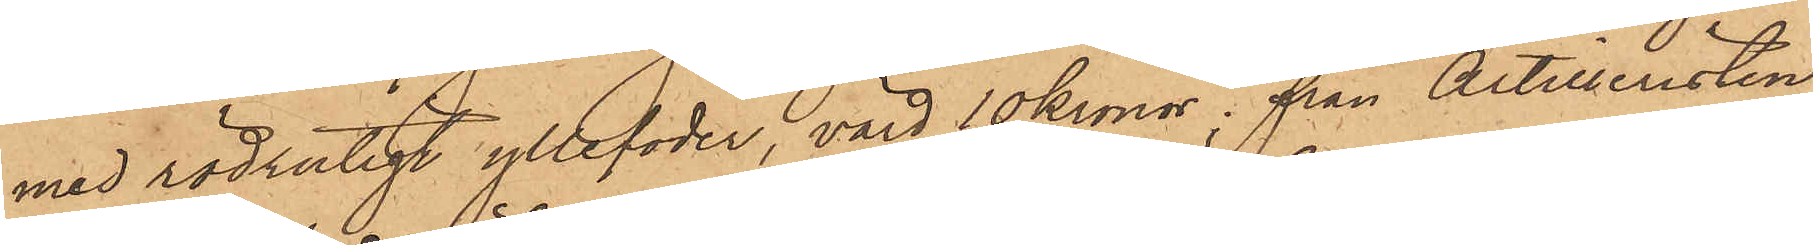med rödrutigt yllefoder, värd 10 kronor; från Artilleristen
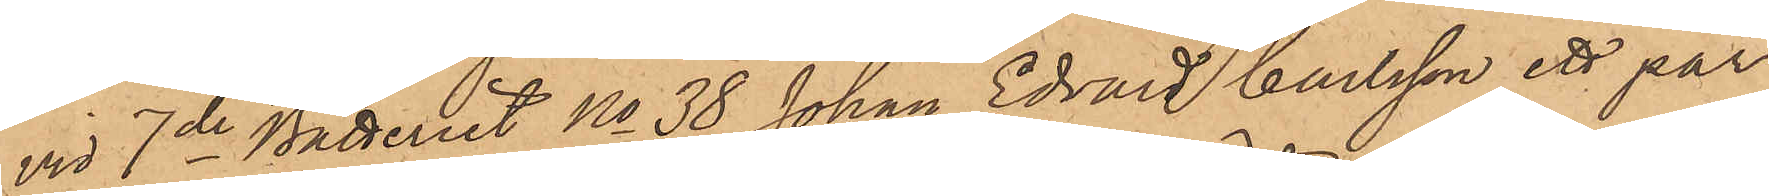vid 7de Batteriet No 38 Johan Edvard Carlsson ett par
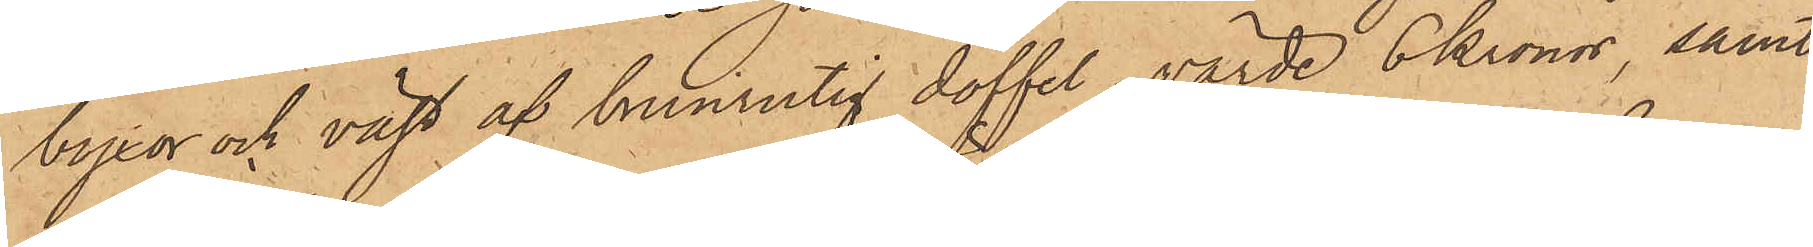byxor och väst af brunrutig doffel, värde 6 kronor, samt
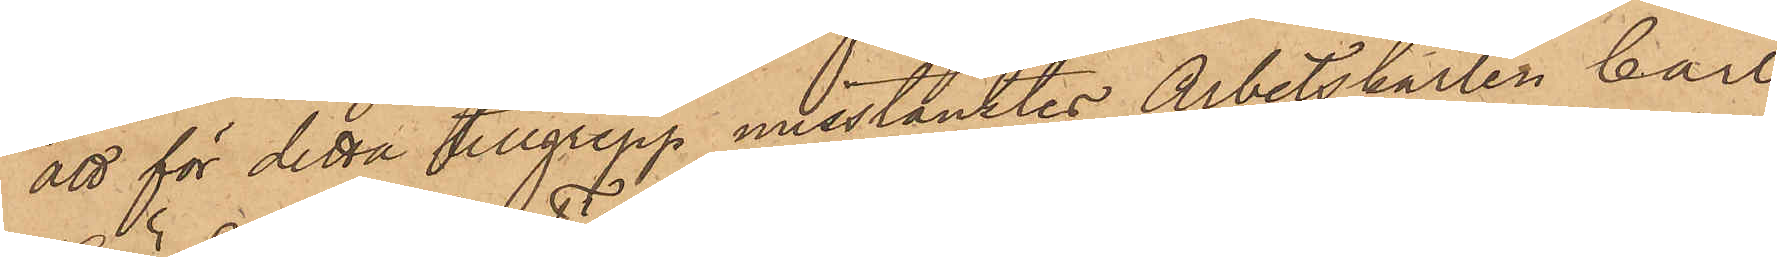att för detta tillgrepp misstänktes Arbetskarlen Carl
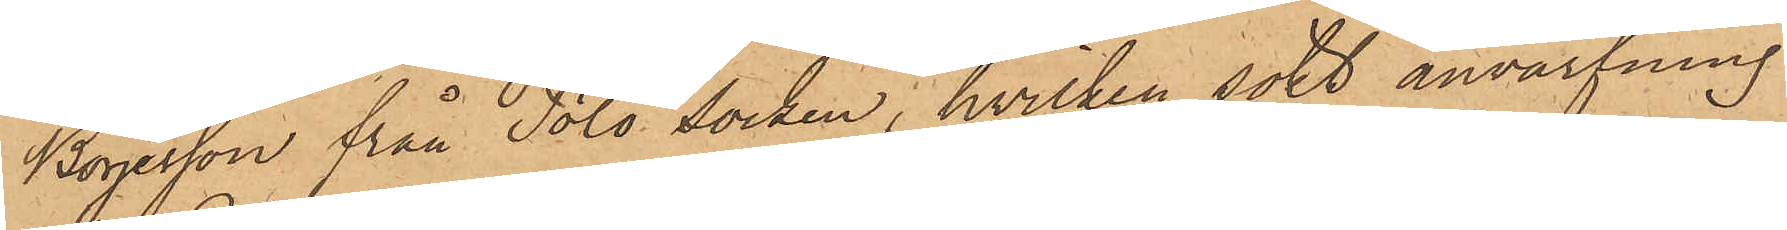Börjesson från Tölö socken, hvilken sökt anvärfning
